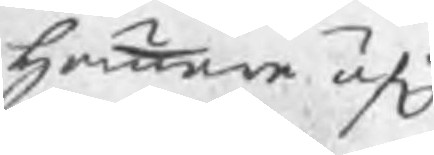hammare äf
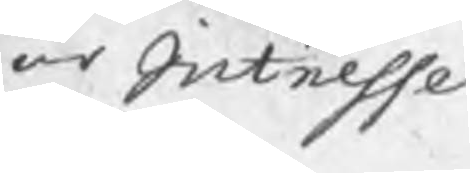är Intresse
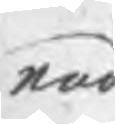rad
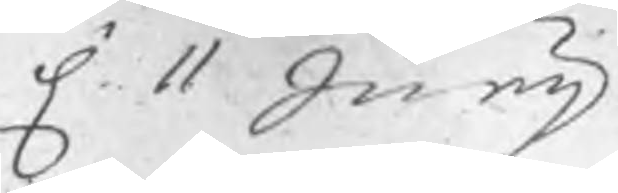d. 11 Junij
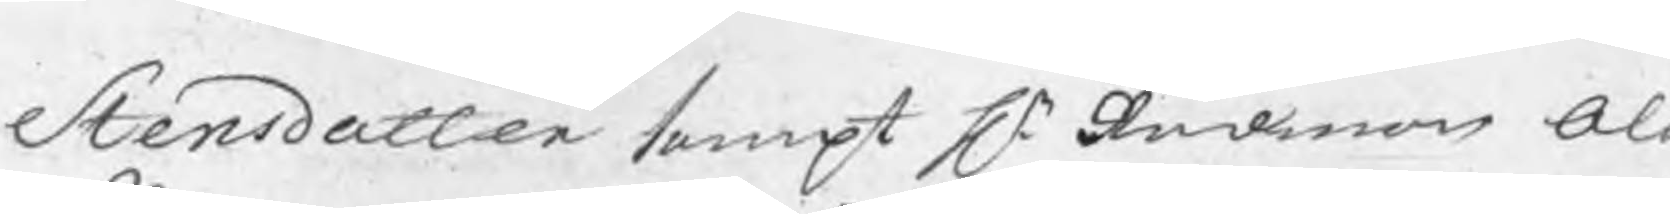Stensdotter sampt Hr. Rådman Olo
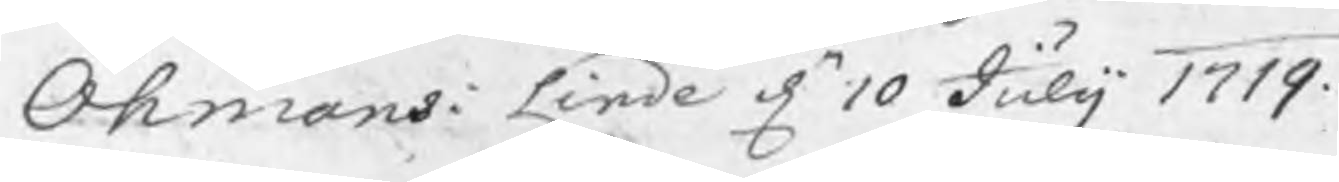Öhmans: Linde dn 10 Julij 1719.
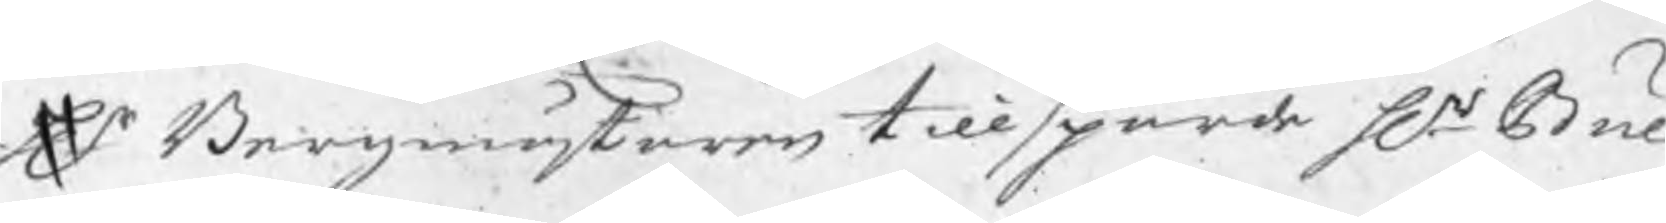Hr Bergmästaren tillsporde Hr Bul
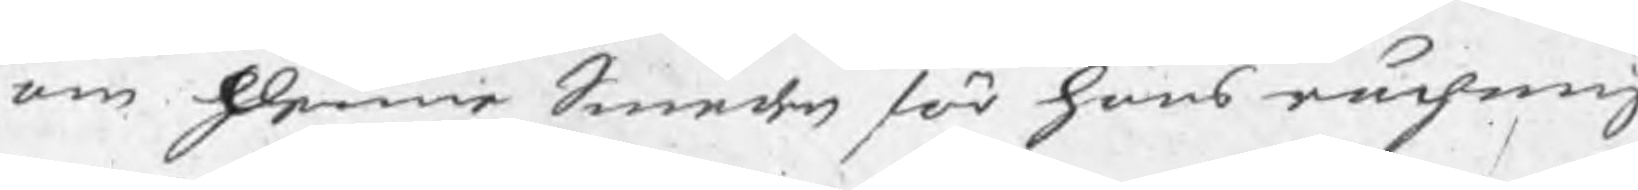om denne Smeden för hans rächning
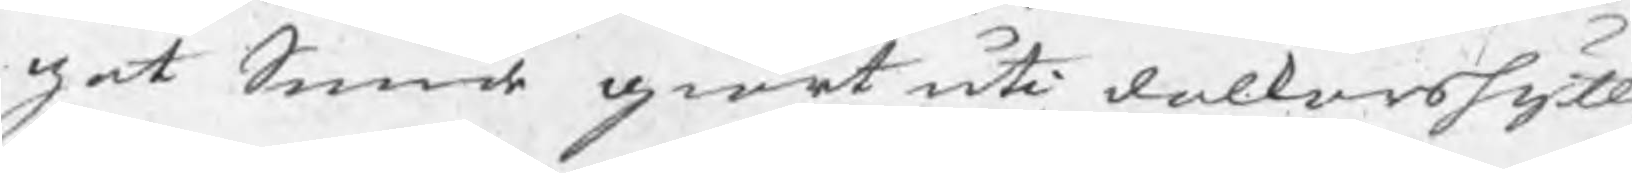got Smide giort uti dalkarshytt
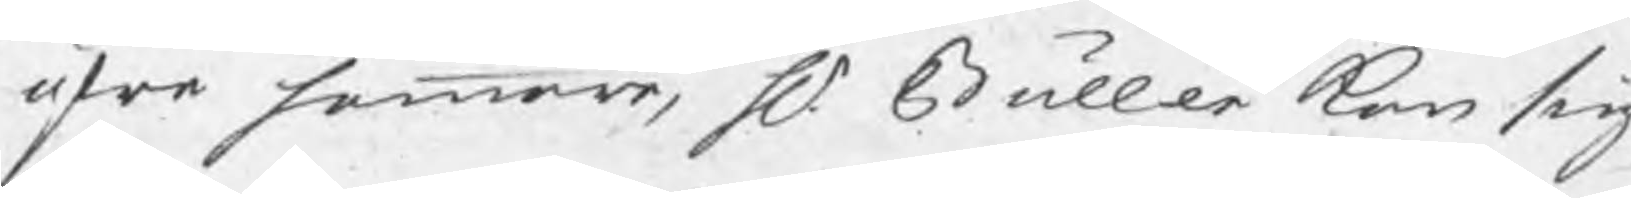öfre hammare, Hr Buller kan sig
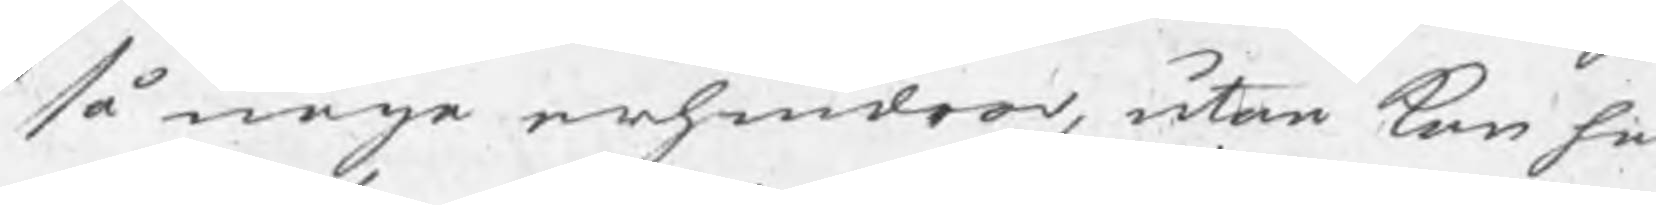så noga erhindrar, utan kan han
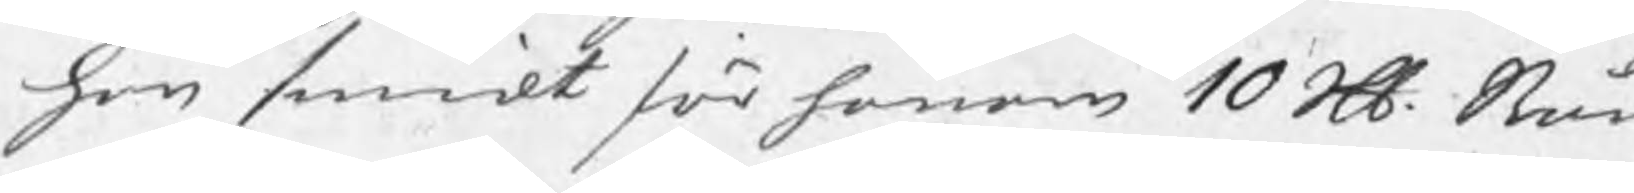han smidt för honom 10 Skl Stån
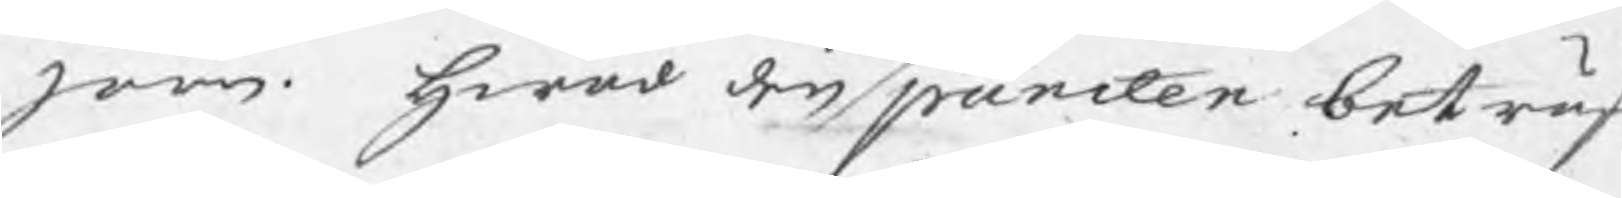järn. hwad den puncten beträff
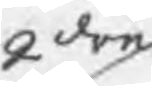2dra
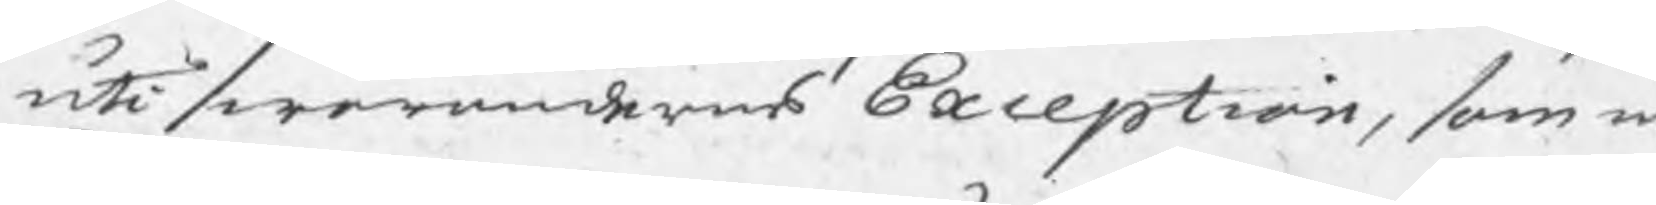uti swarandernes Exception, som i
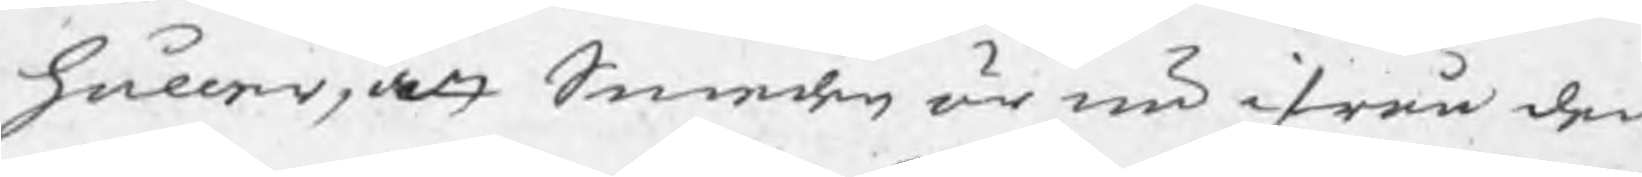håller, det Smeden är nu ifrån dem
